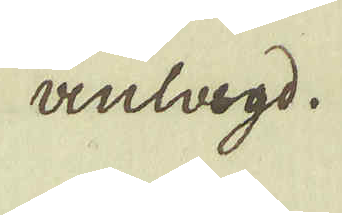anlagd.
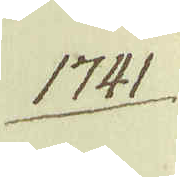1741.
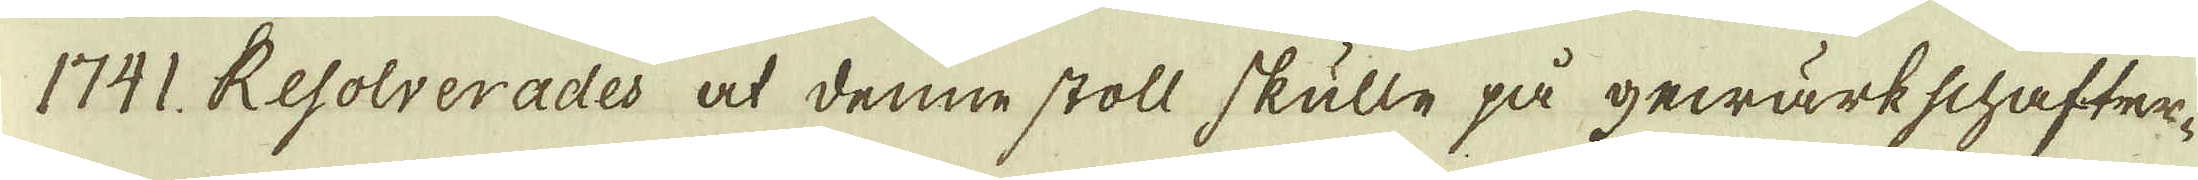1741. Resolverades at denne stoll skulle på gewärkschafter-
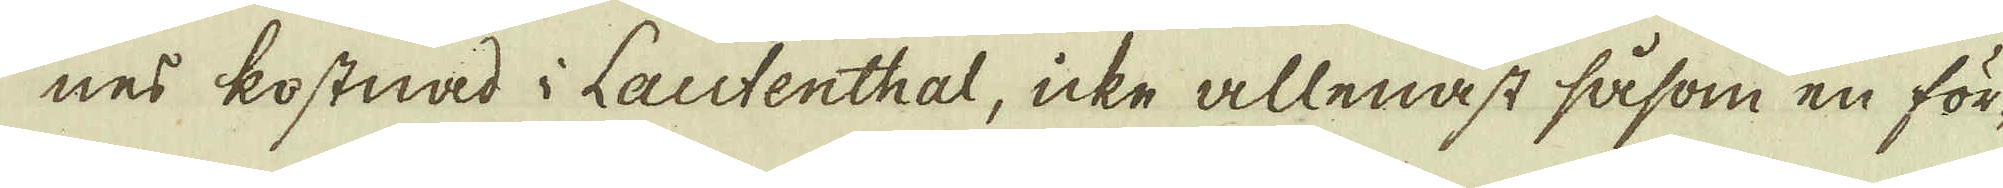nes kostnad i Lautenthal, icke allenast såsom en för-
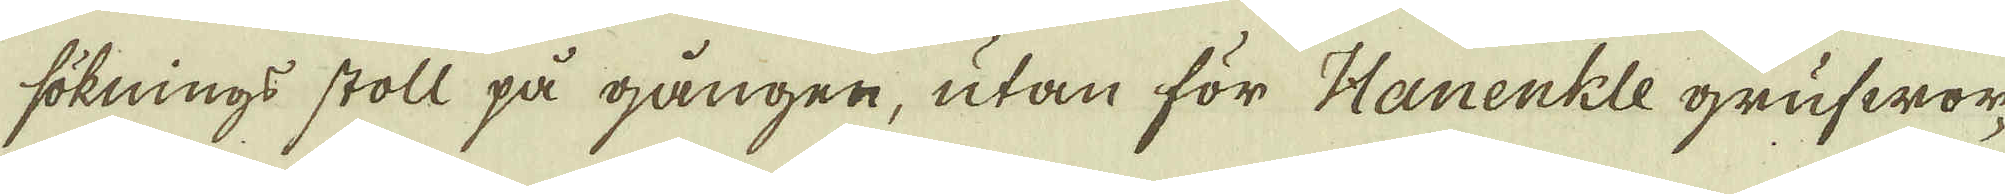söknings stoll på gången, utan för Hanenkle grufwor-
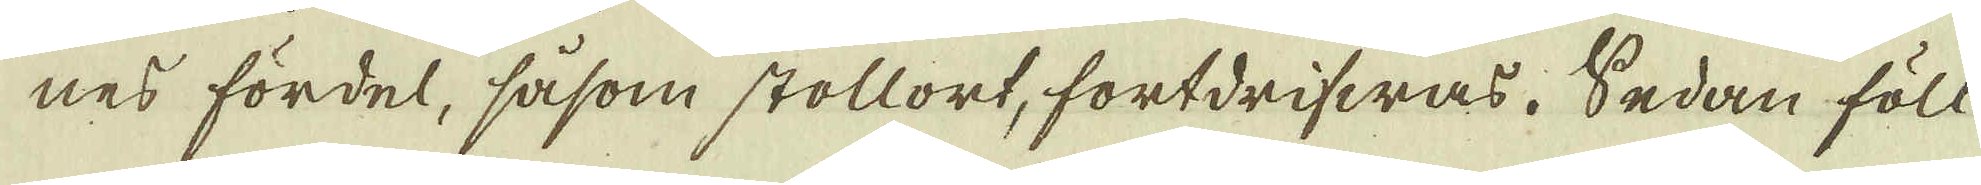nes fördel, såsom stollort, fortdrifwas. Sedan föll
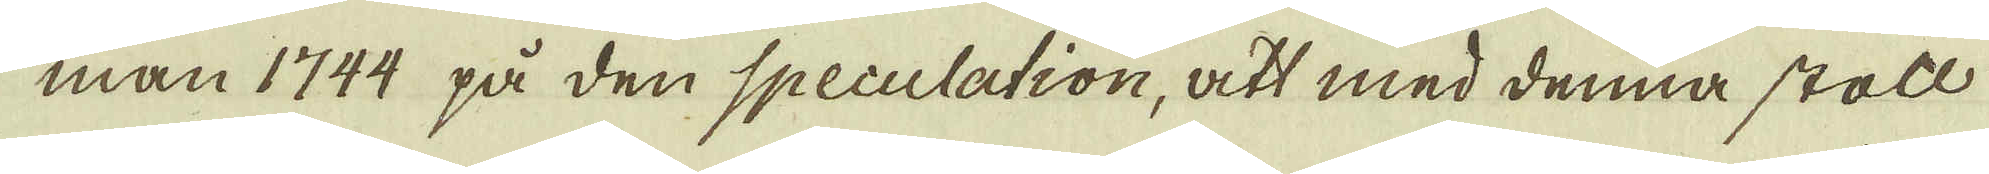man 1744 på den Speculation, att med denna stoll
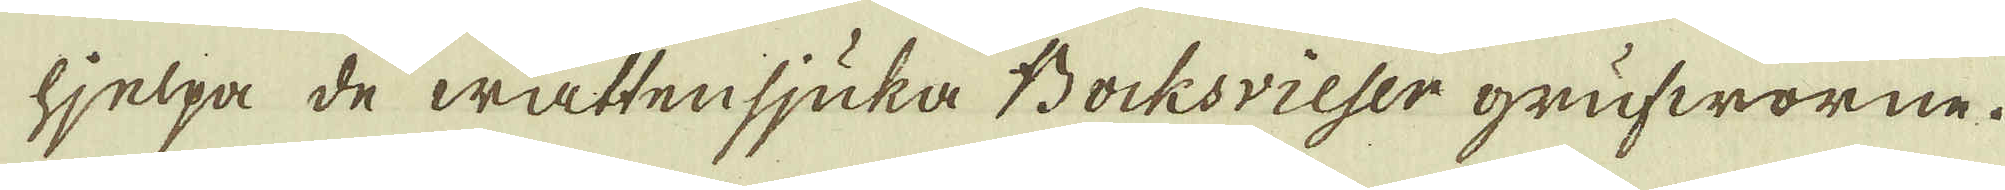hjelpa de wattensjuka Bocksvieser grufworne.
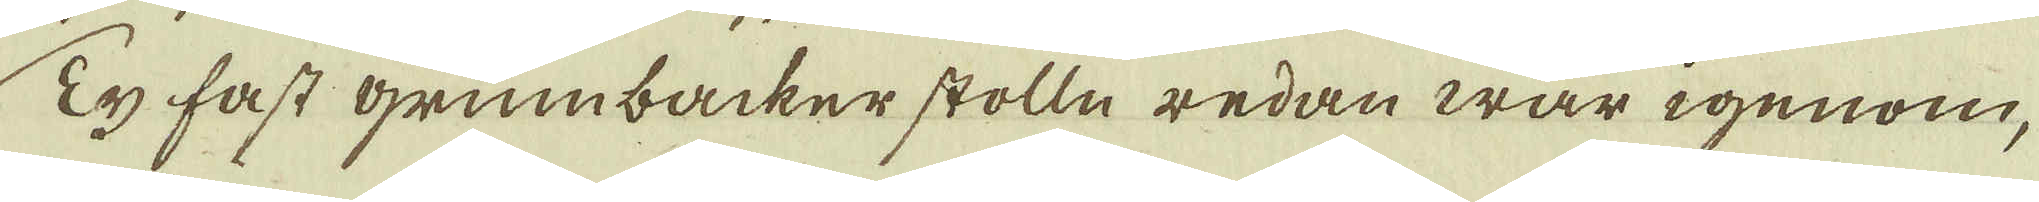Ty fast grumbacker stolln redan war igenom,
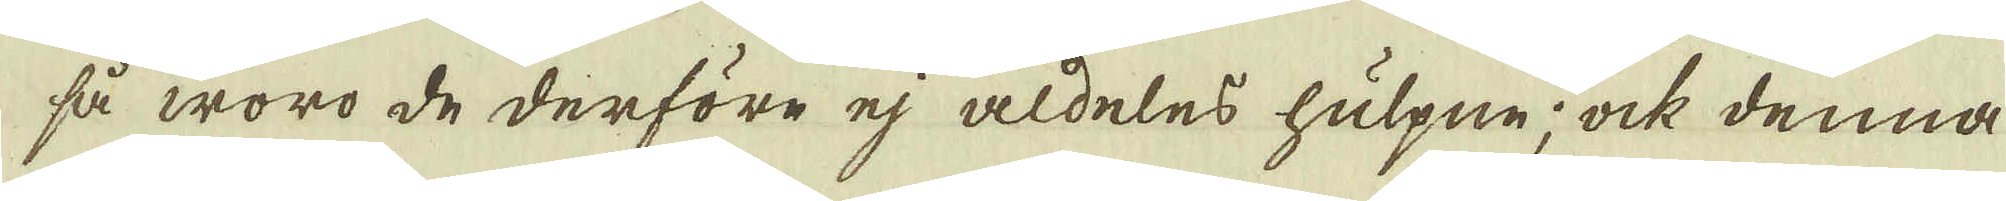så woro de derföre ej aldeles hulpne; ock denna
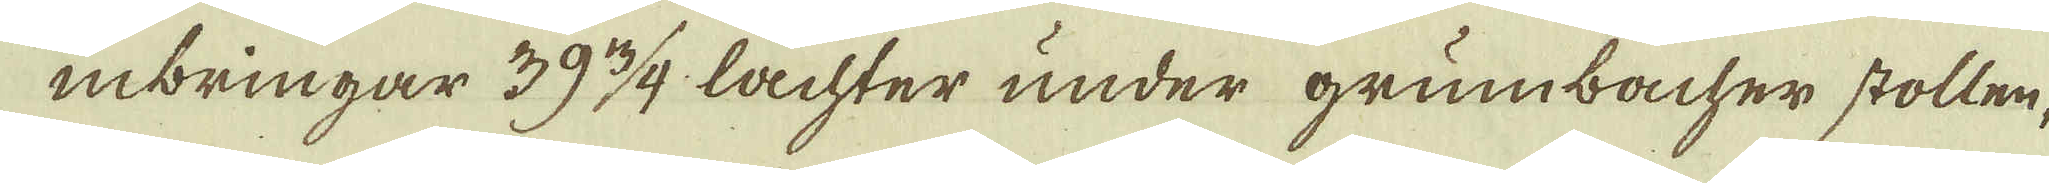inbringar 39 3/4 lachter under grumbacher stollen,
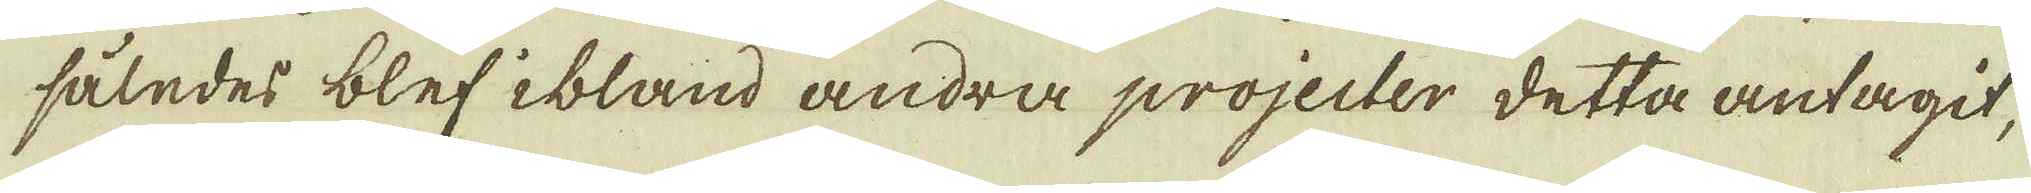således blef ibland andra projecter detta antagit,
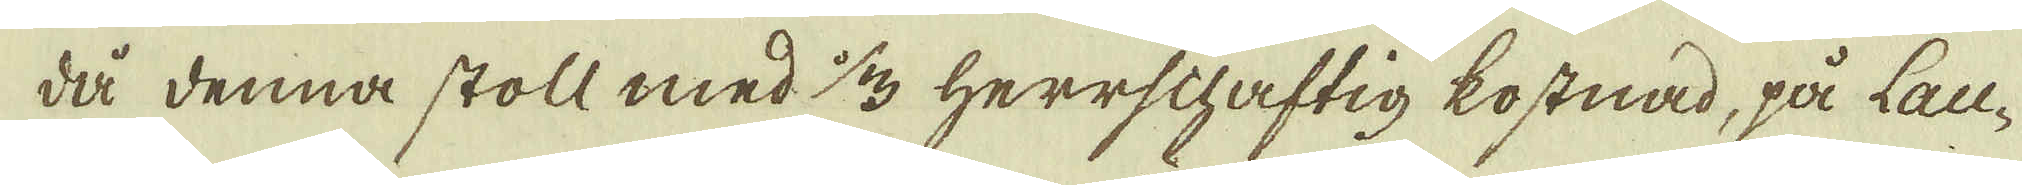då denna stoll med 1/3 Herrschaftig kostnad, på Lau-
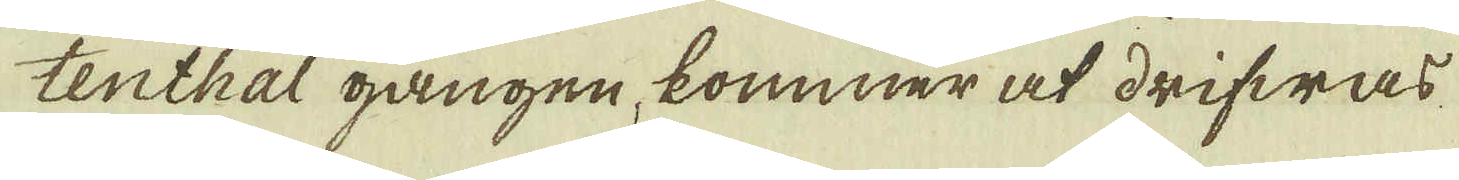tenthal gången, kommer at drifwas
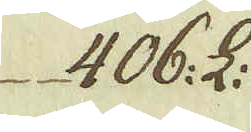406: L:
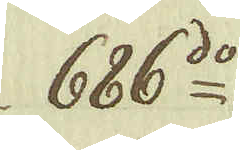686:do
